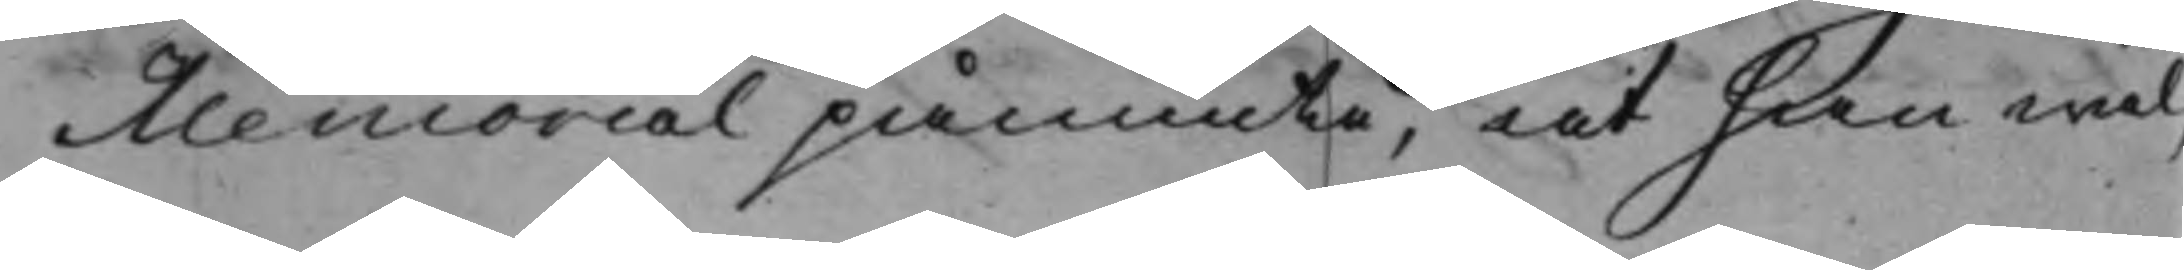Memorial påminte, at han wäl¬
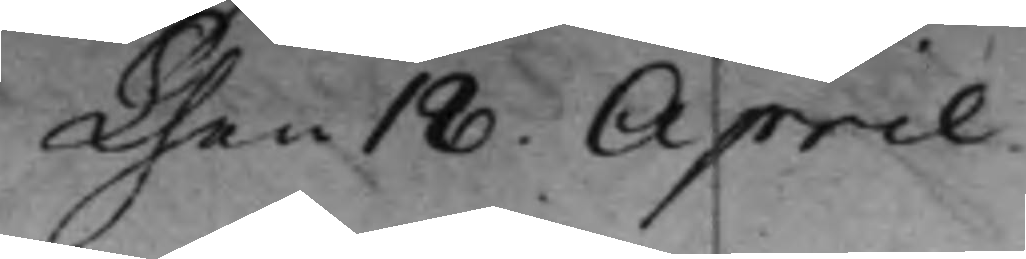Then 18 Aprill.
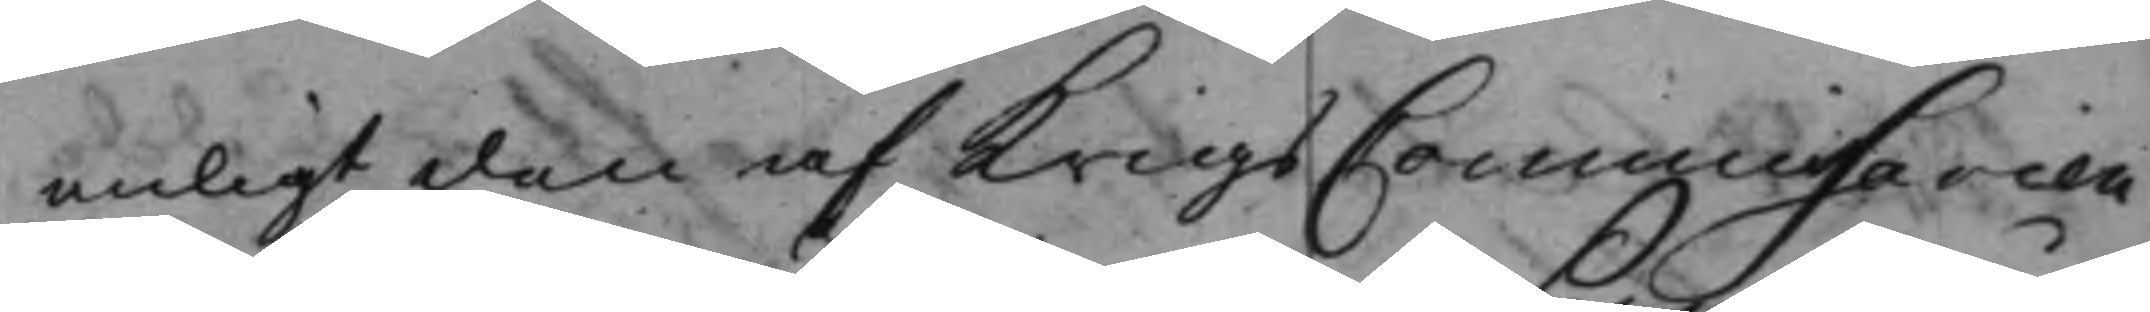enligt den af KrigsCommissarien
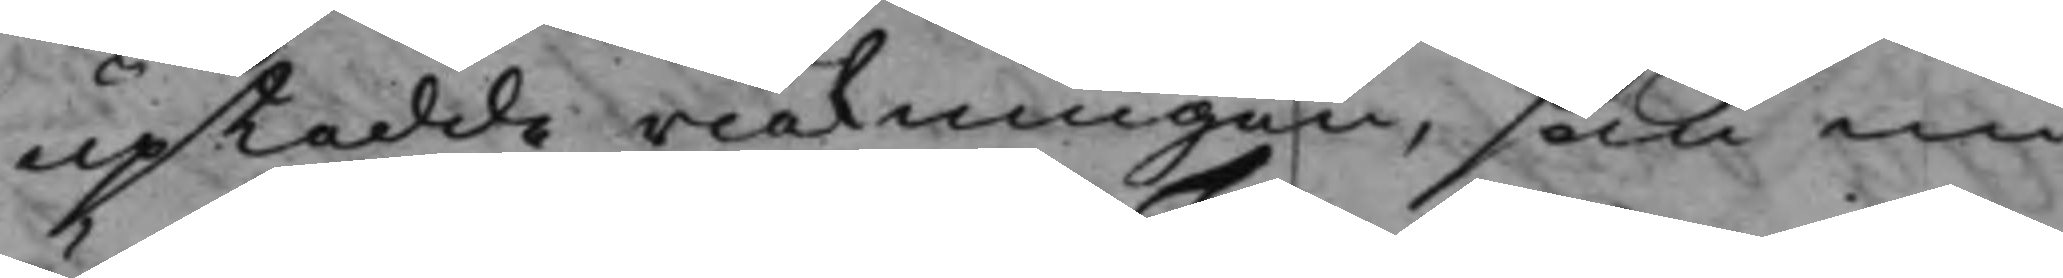upkedde räkningen, som nu
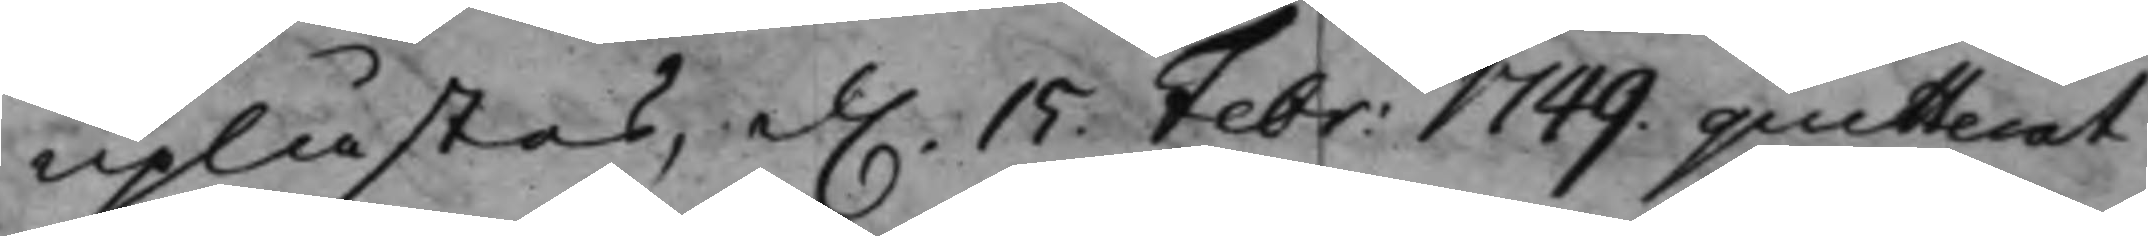uplästes, d. 15 Febr: 1749. quitterat 
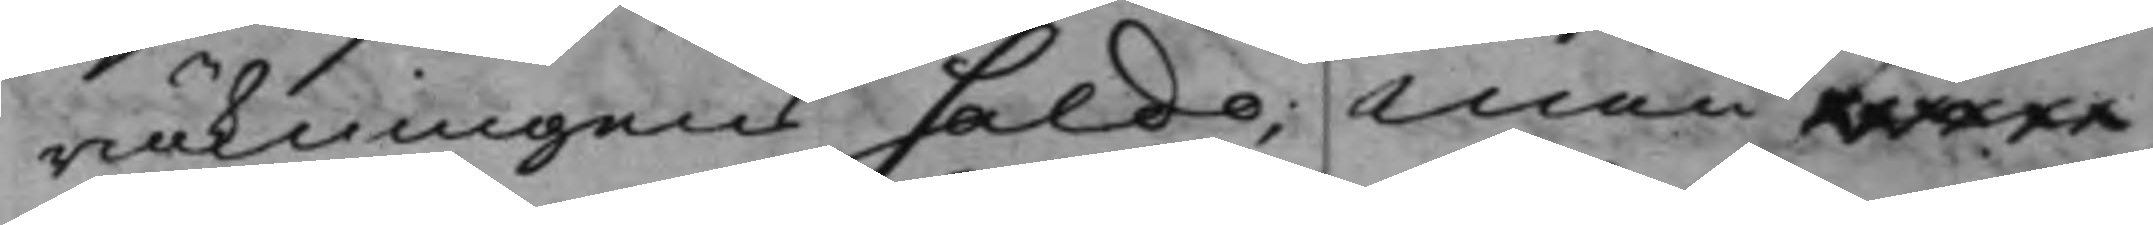räkningen saldo; Men were¬
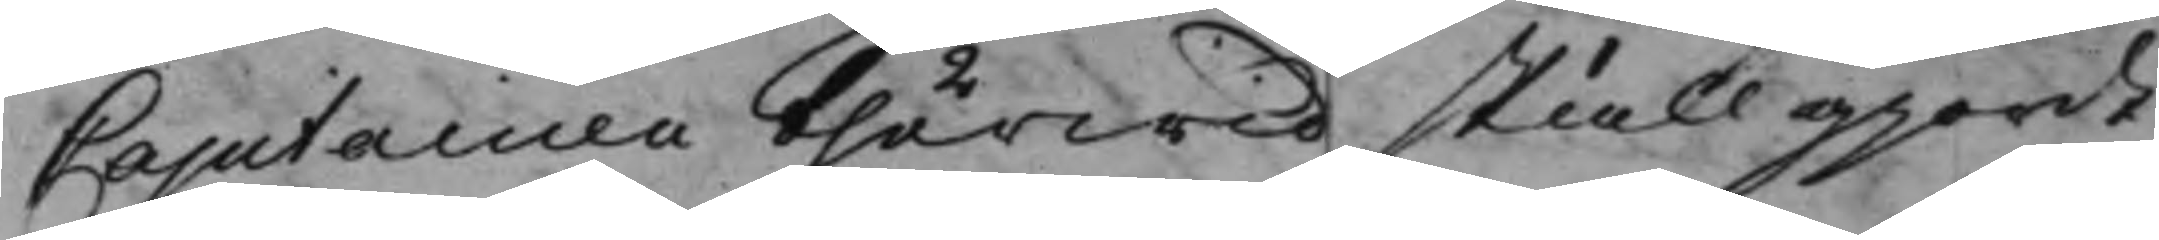Capitainen therwid skall giordt
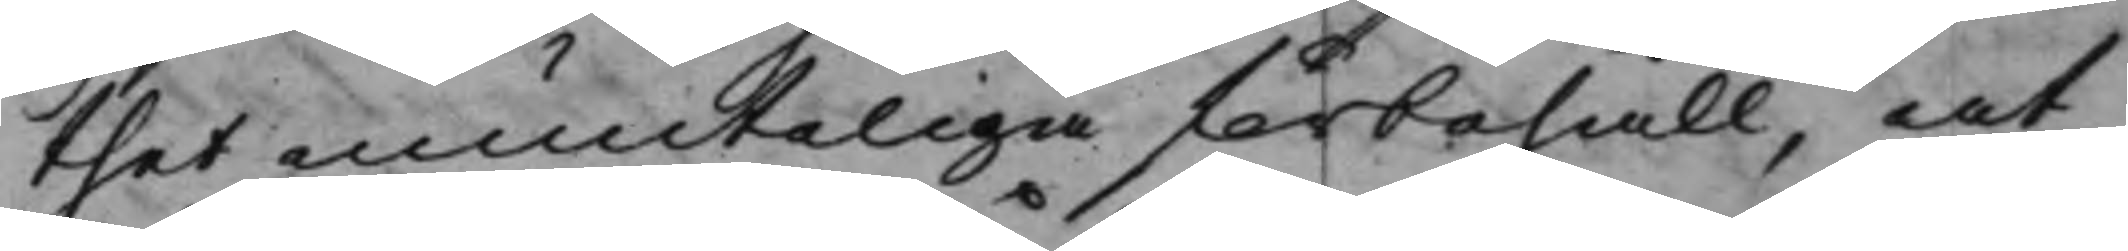thet munteliga förbehåll, at
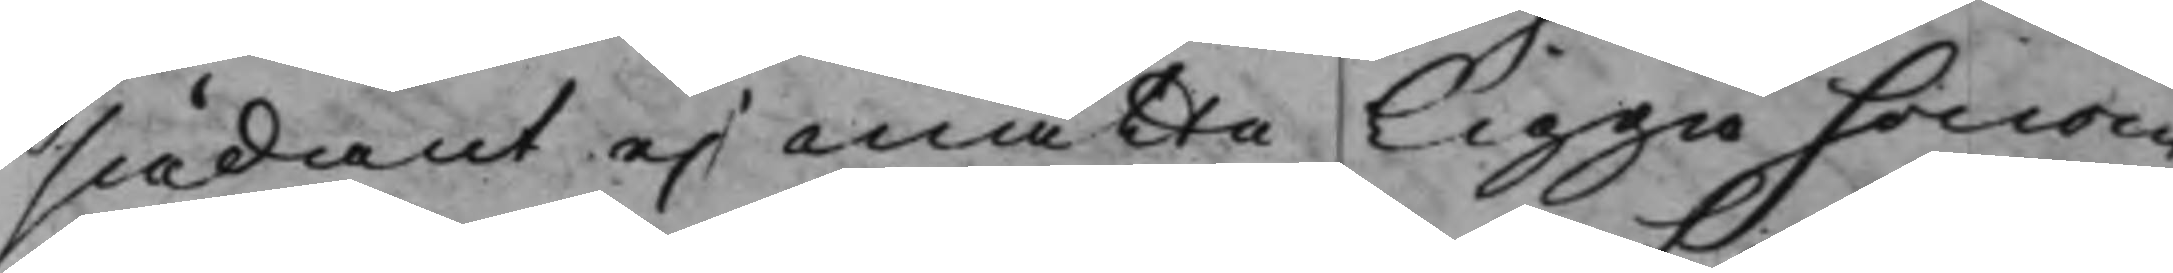sådant ej måtte ligga honom
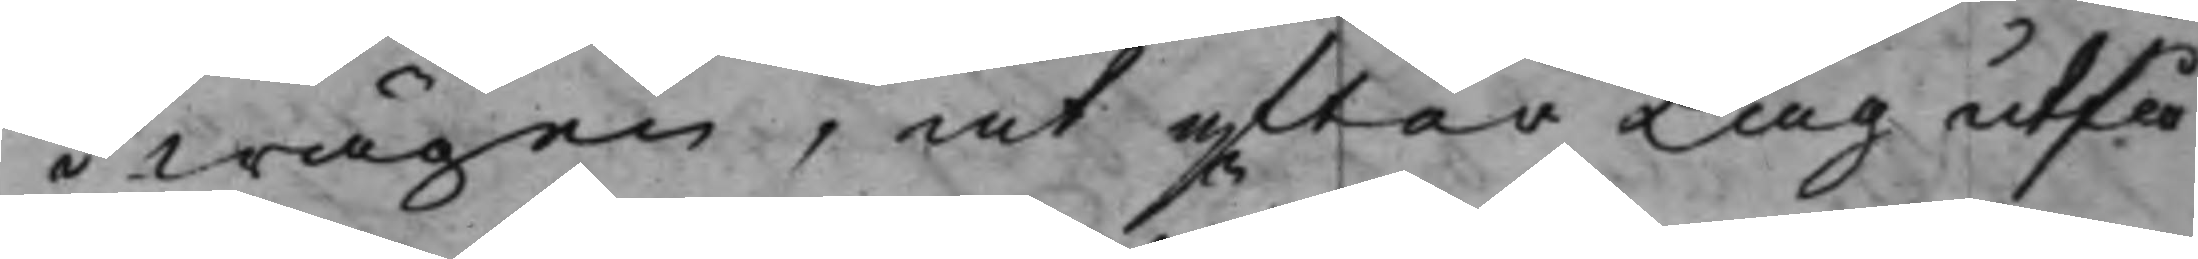i wägen, at ytter Lag utfä¬
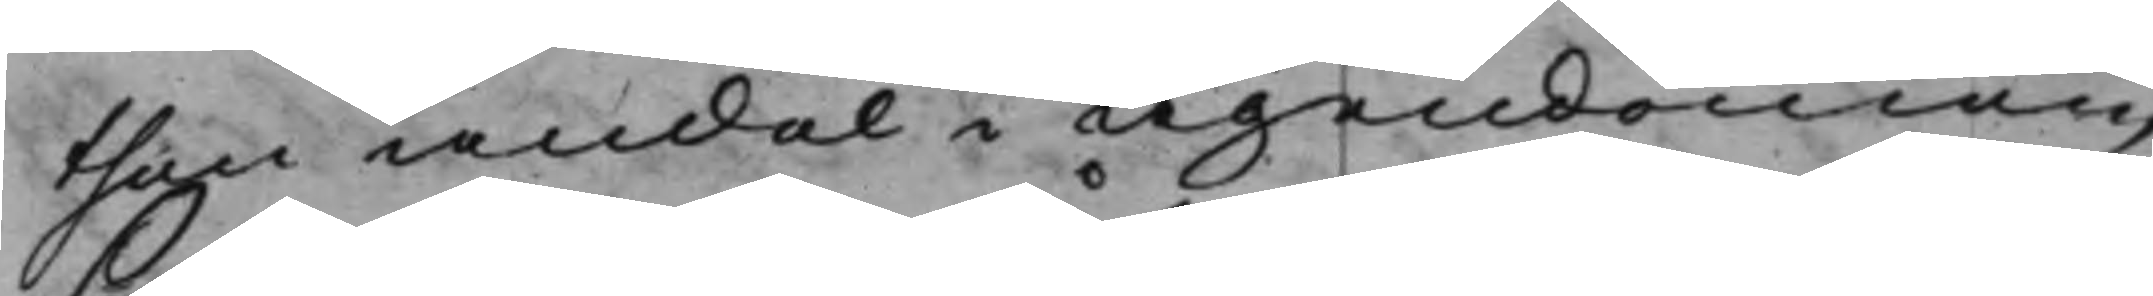then andel i egendomen
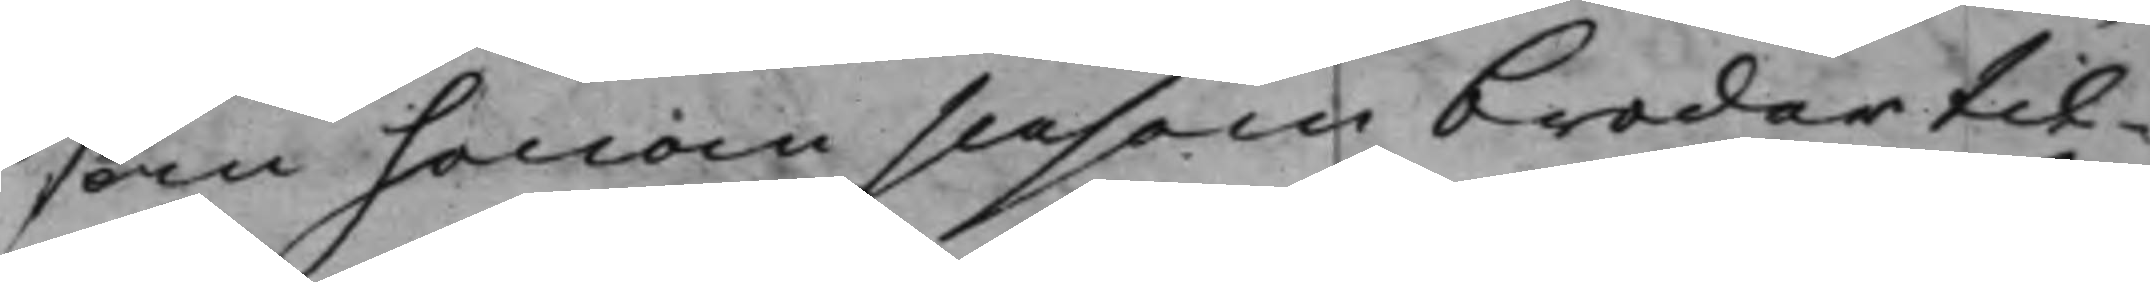som honom såsom broder til¬
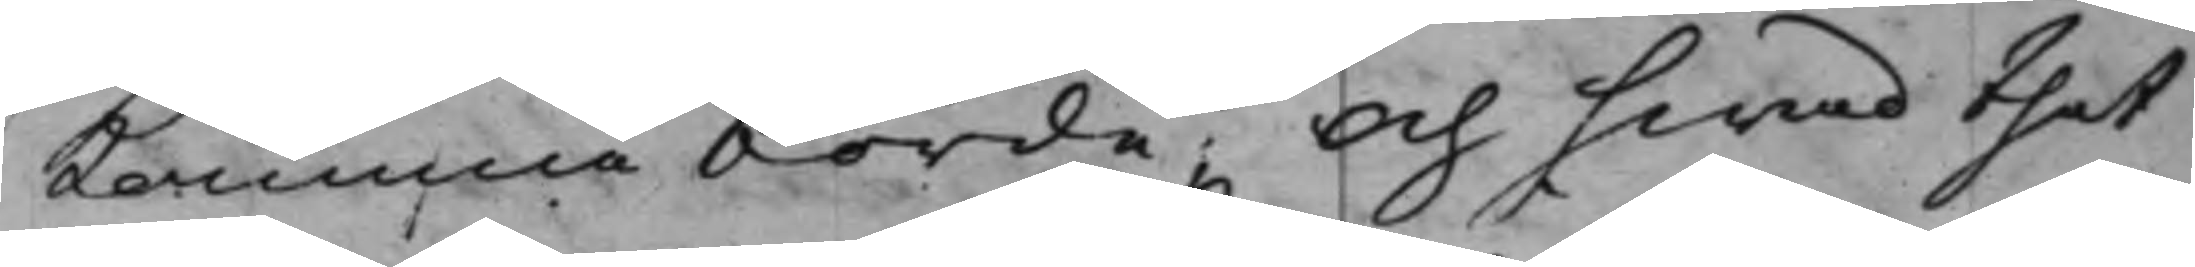komma börde; Och hwad thet
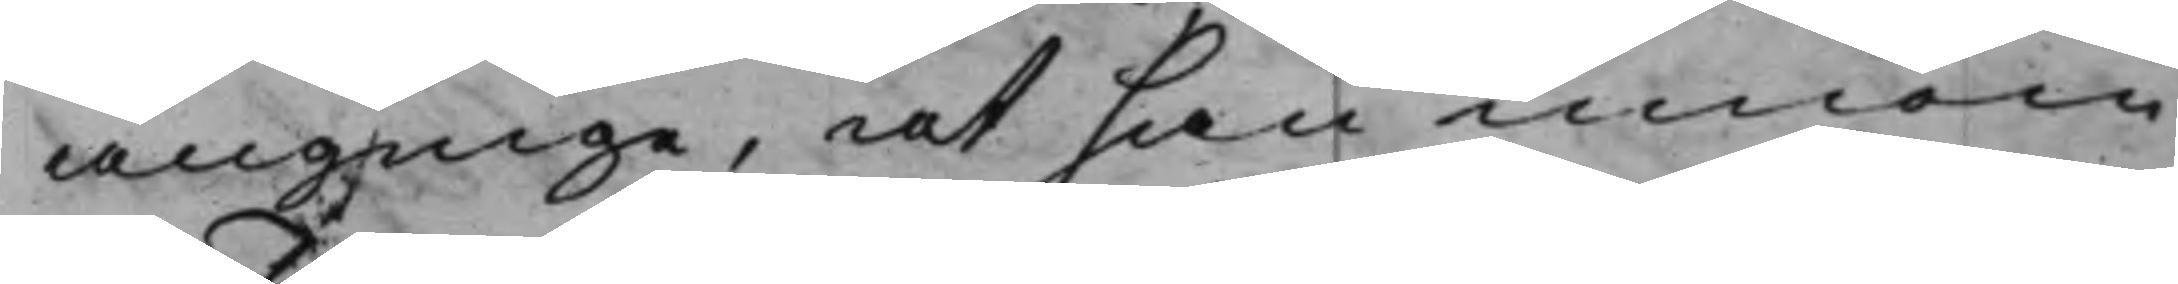ängige, at han innom
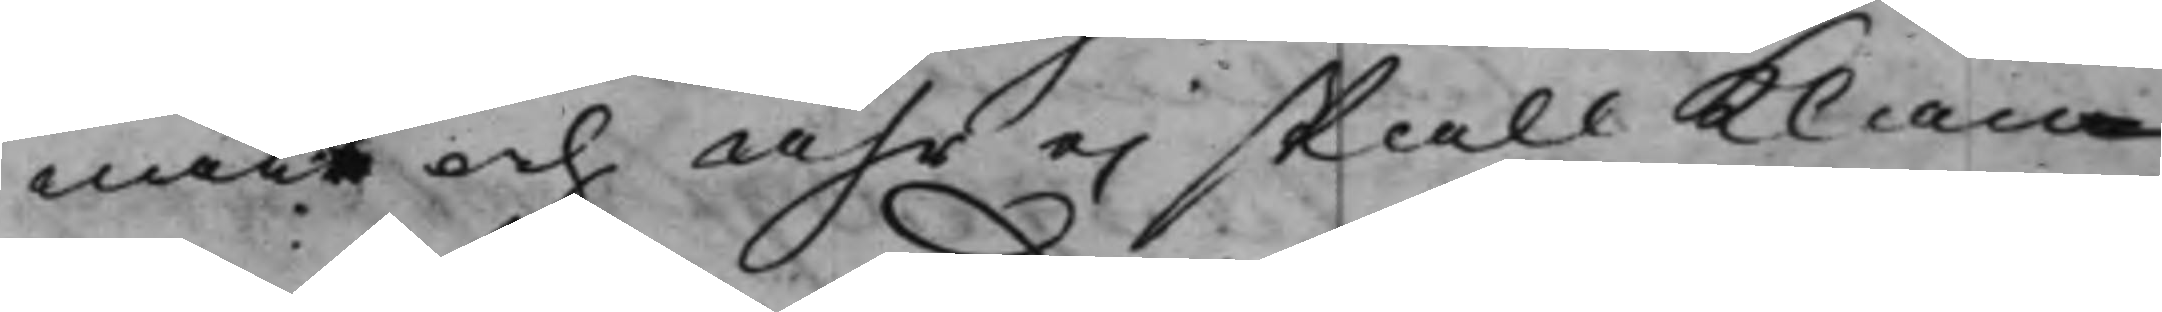natt och åhr ei skall klan¬
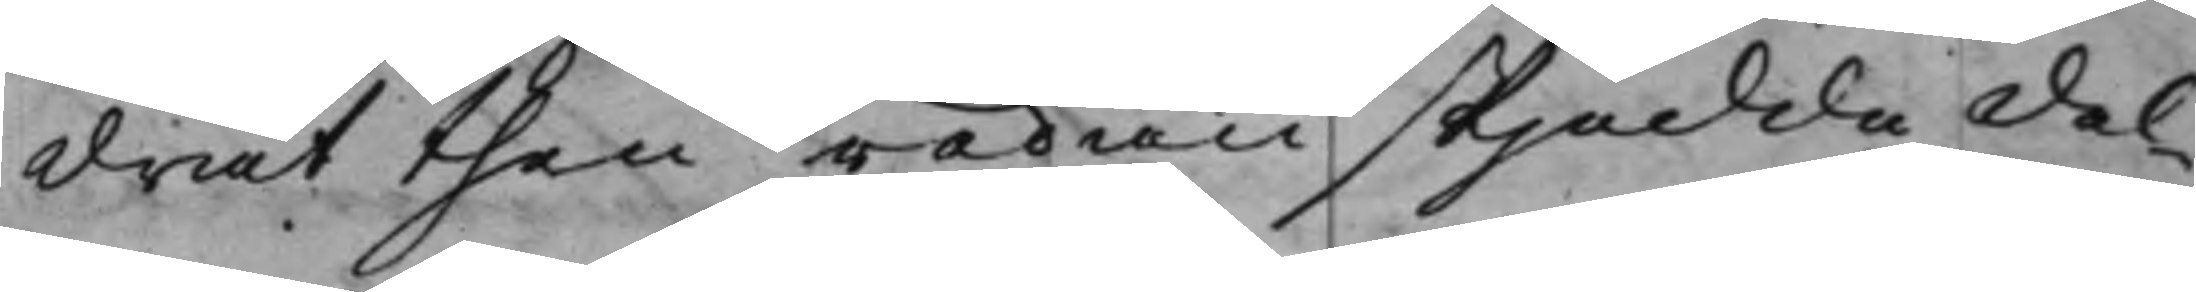drat then redan skjedde del¬
